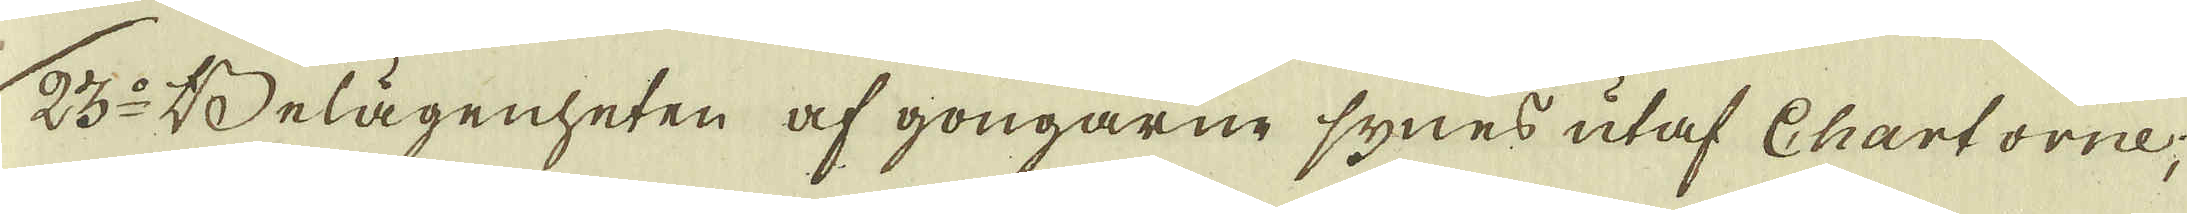23:o Belägenheten af gongarne synes utaf Chartorne;
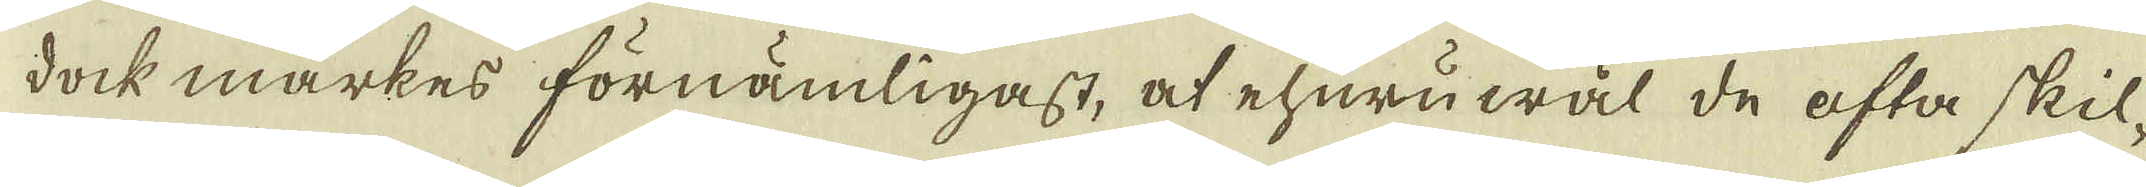dock märkes förnämligast, at ehuruwäl de ofta skil-
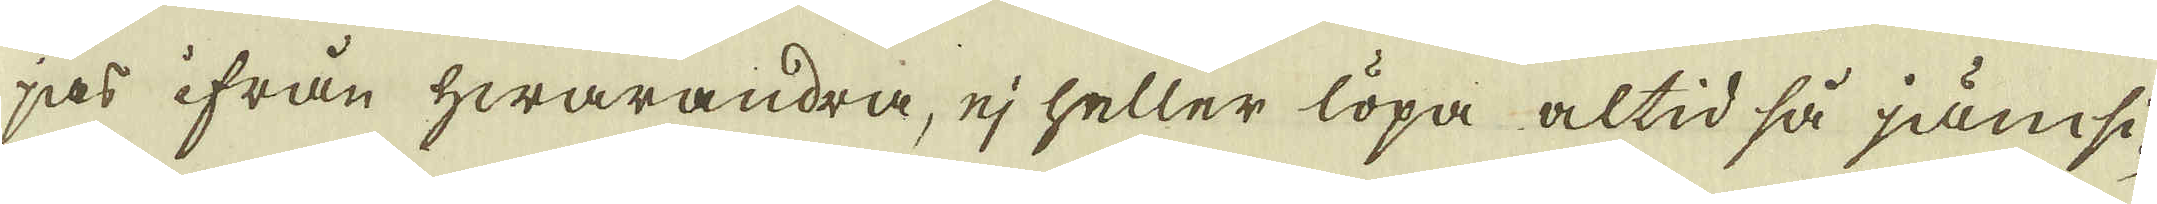jas ifrån hwarandra, ej heller löpa altid så jämsi-
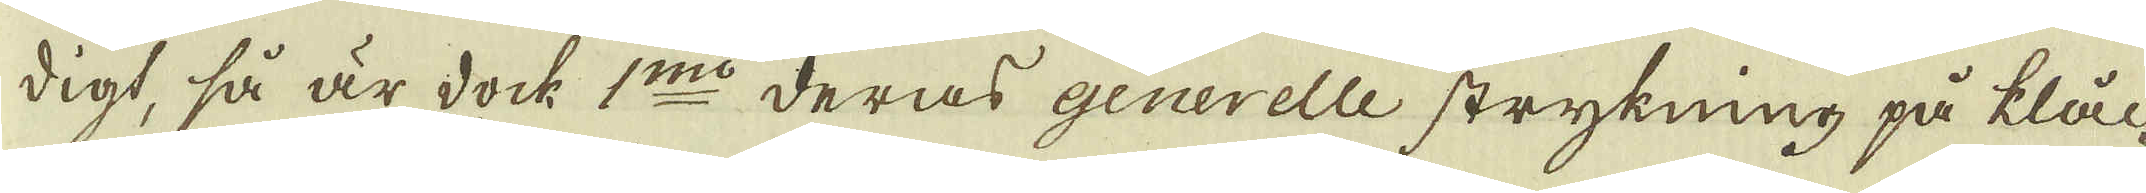digt, så är dock 1:mo deras generelle strykning på klål-
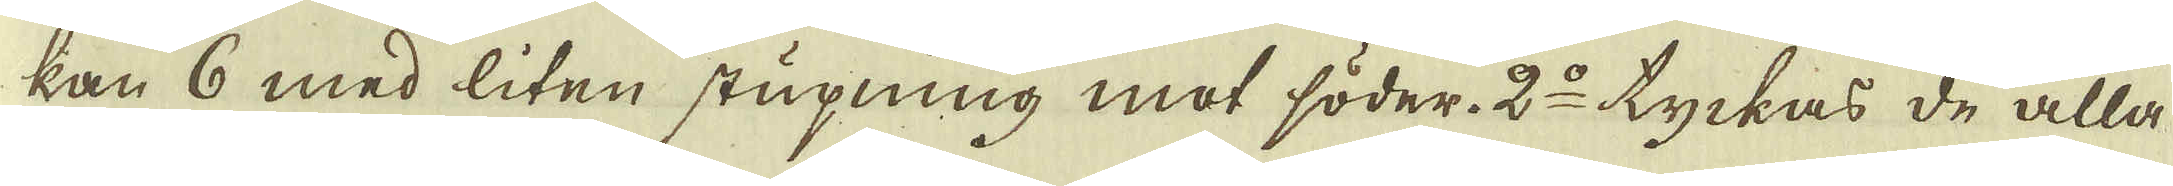kan 6 med liten stupning mot söder. 2:o tyckas de alla
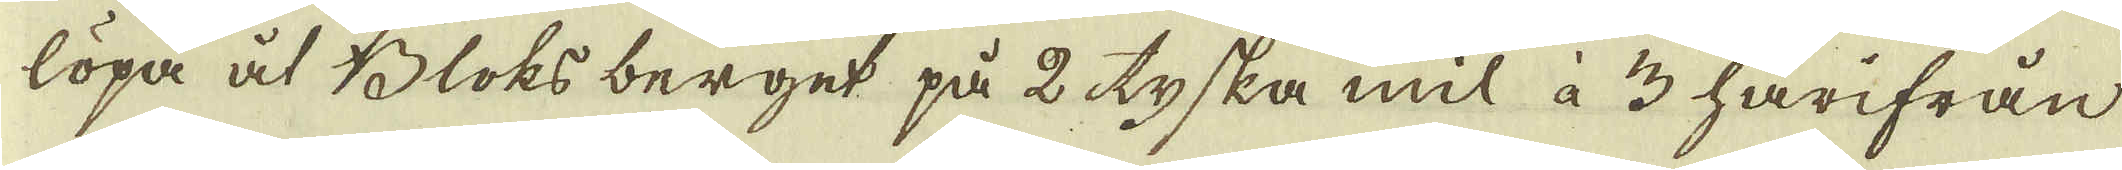löpa åt Bloks berget på 2 tyska mil à 3 härifrån
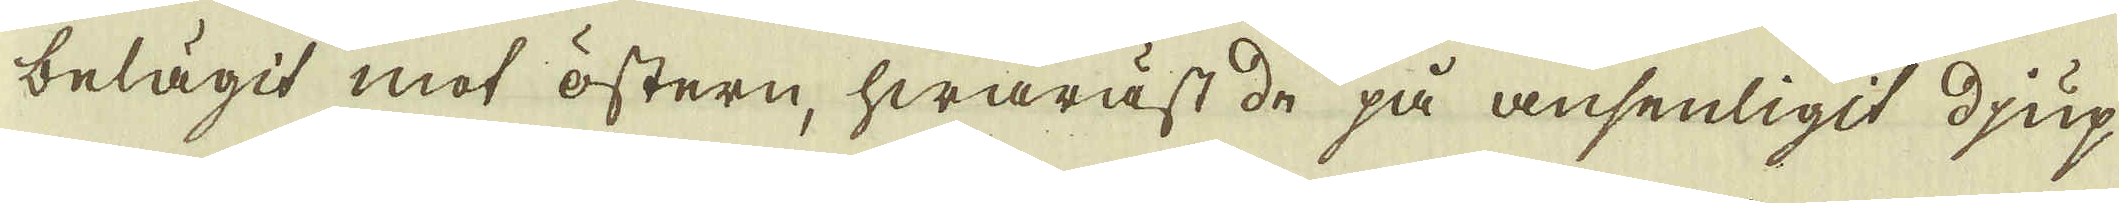belägit mot östern, hwaräst de på ansenligit djup
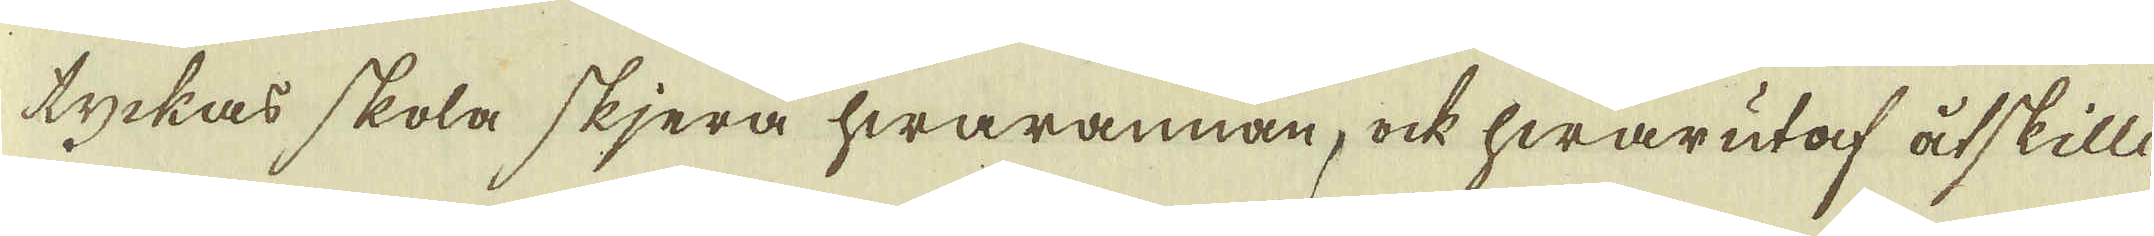tyckas skola skjera hwarannan, ock hwarutaf åtskilli-
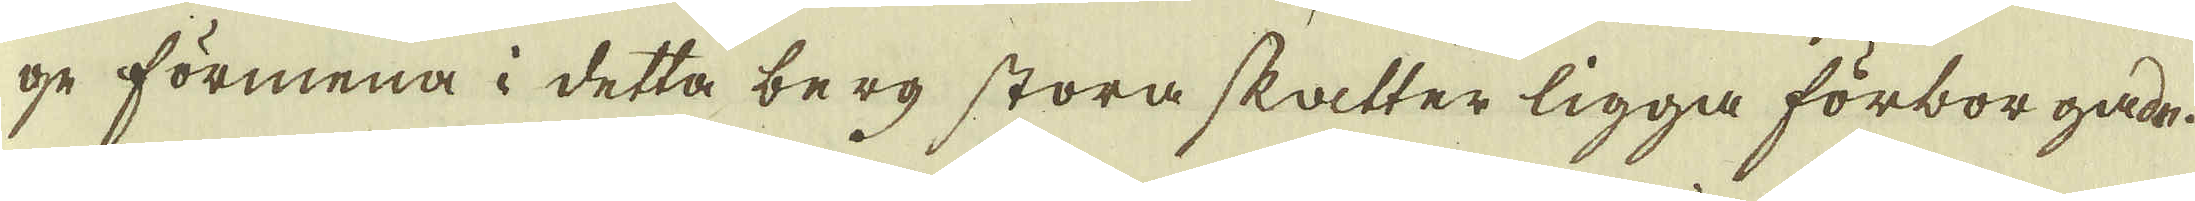ge förmena i detta berg stora skatter ligga förborgade.
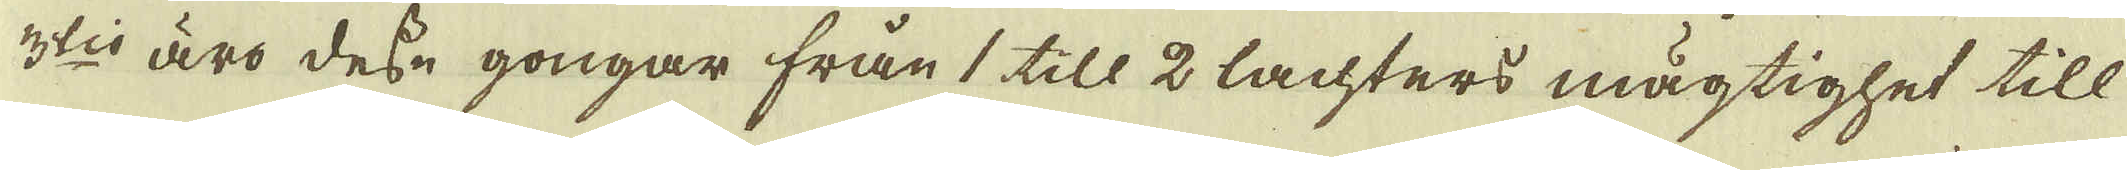3:tio äro desse gongar från 1 till 2 lachters mägtighet till
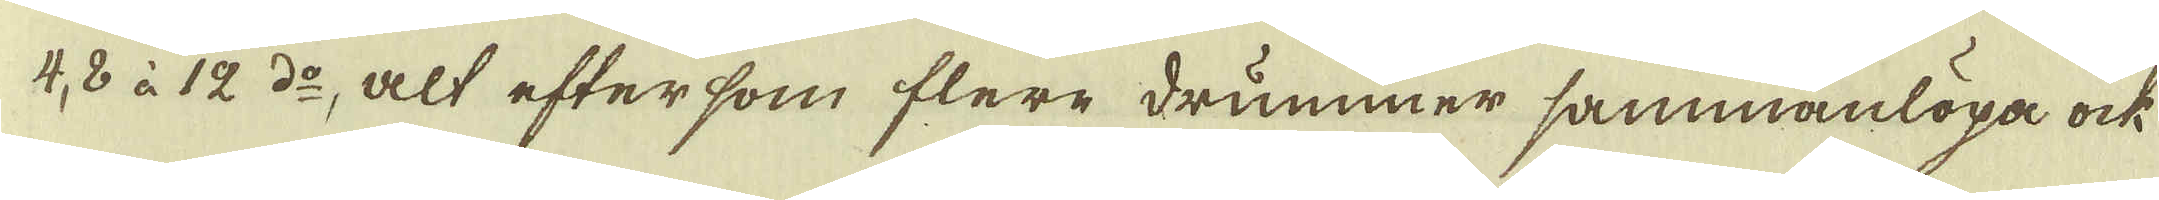4, 8 à 12 d:o, alt eftersom flere drummer sammanlöpa ock
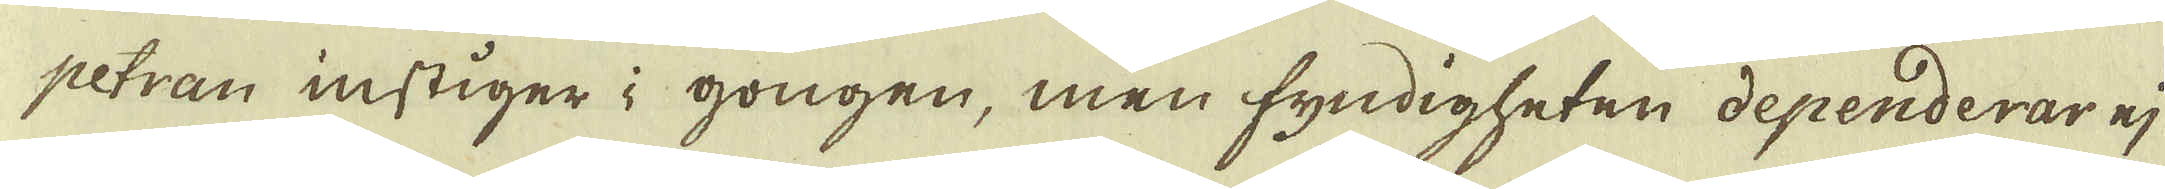petran instiger i gongen, men fyndigheten dependerar ej
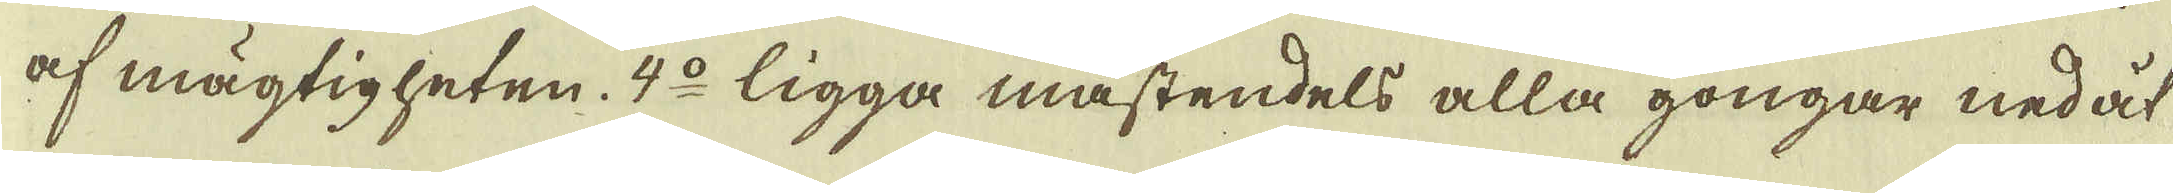af mägtigheten. 4:o ligga mästendels alla gongar nedåt
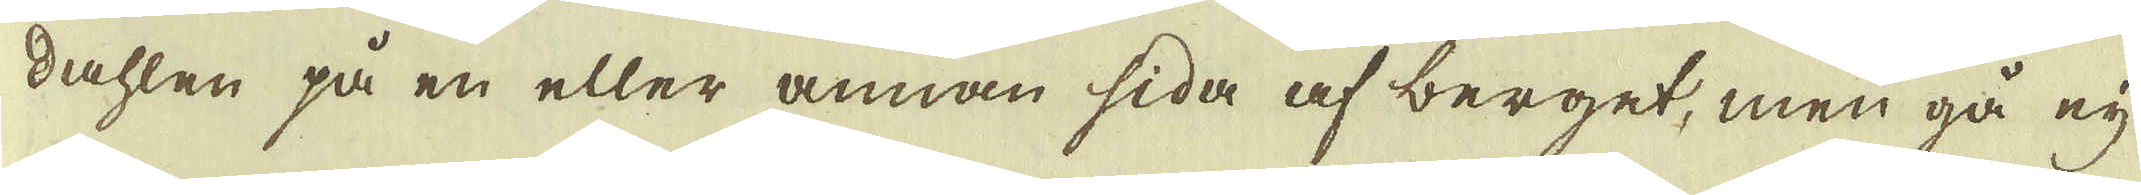dahlen på en eller annan sida af berget, men gå eij
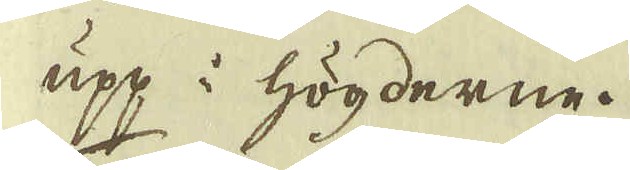upp i högderne.
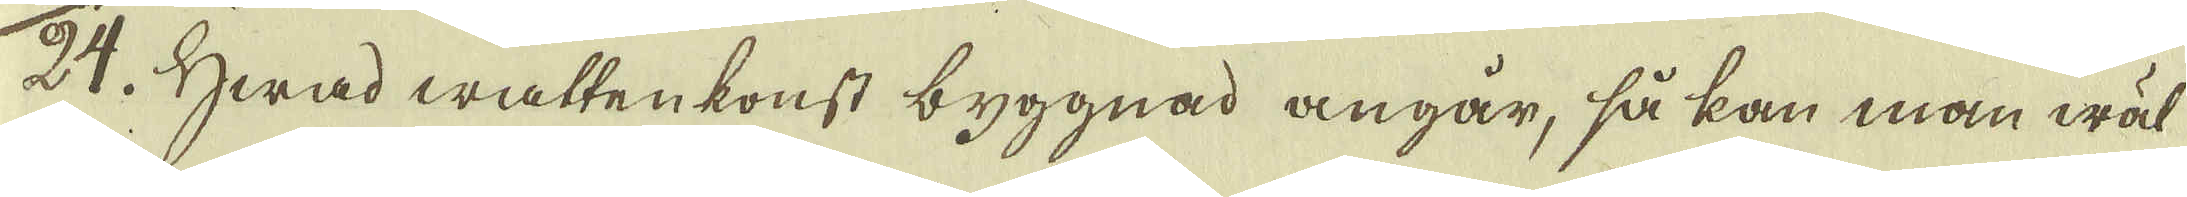24. Hwad wattenkonst byggnad angår, så kan man wäl
